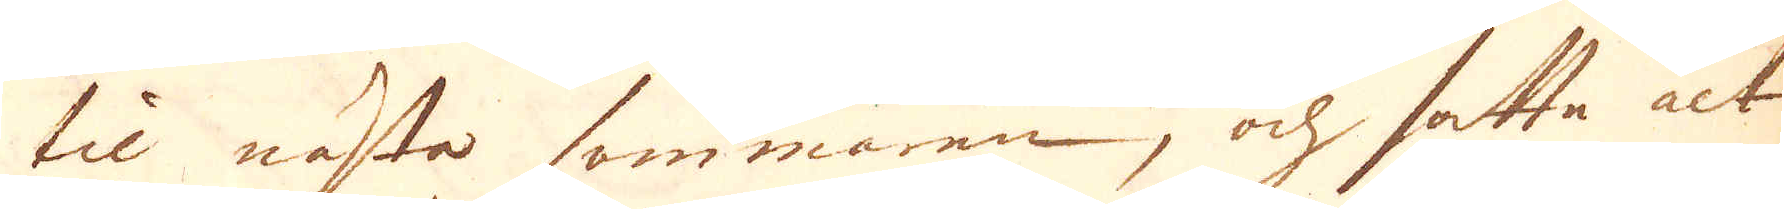til nästa sommaren, och satte alt
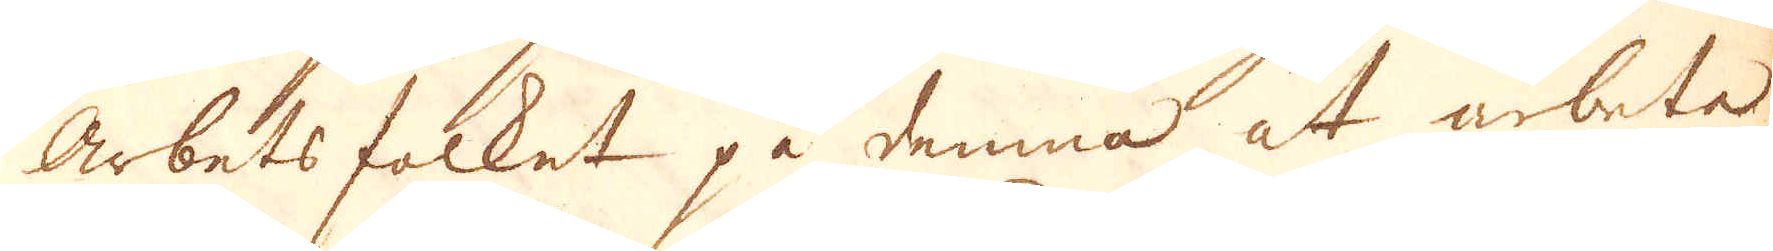Arbetsfolket på denna at arbeta
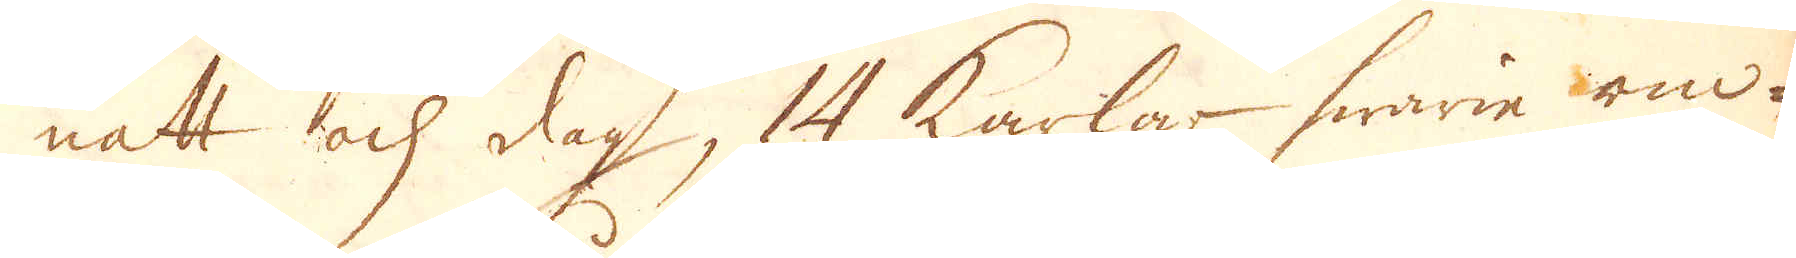natt och dag, 14 karlar hwarie om-
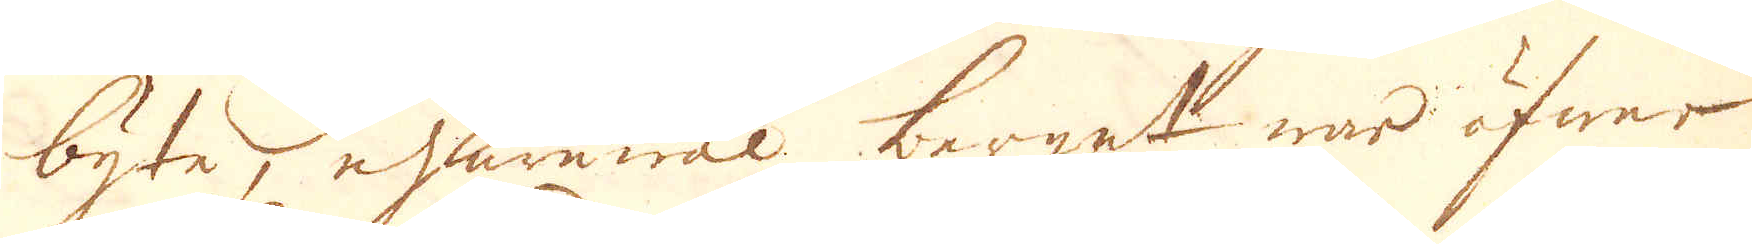byte, ehuruwäl berget war öfwer-
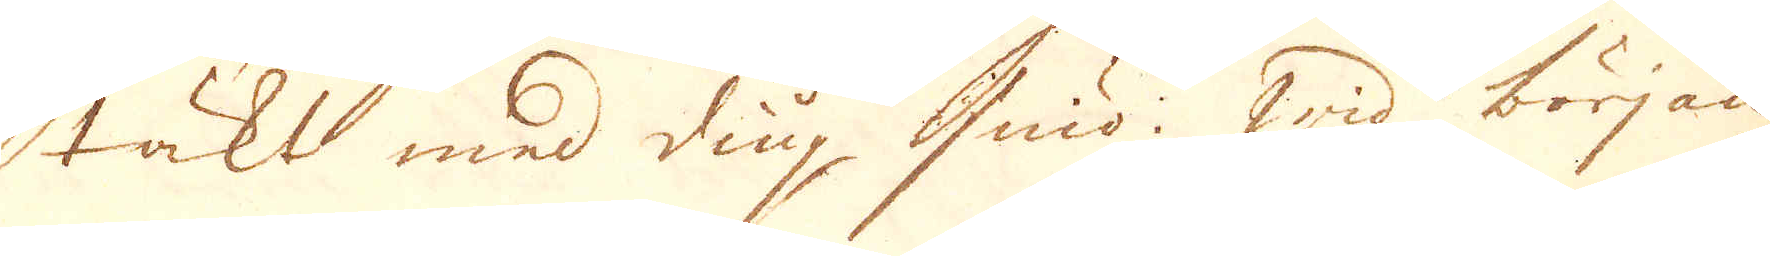täkt med diup sniö. Wid början
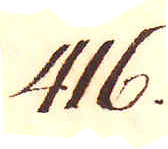416.
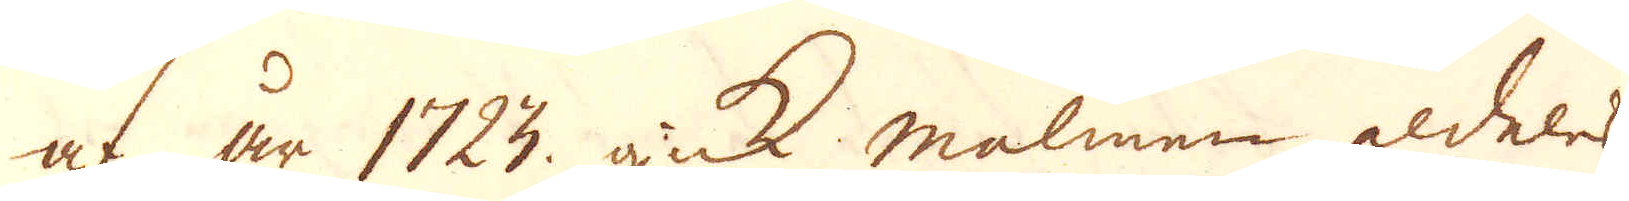af år 1723 gick malmen aldeles
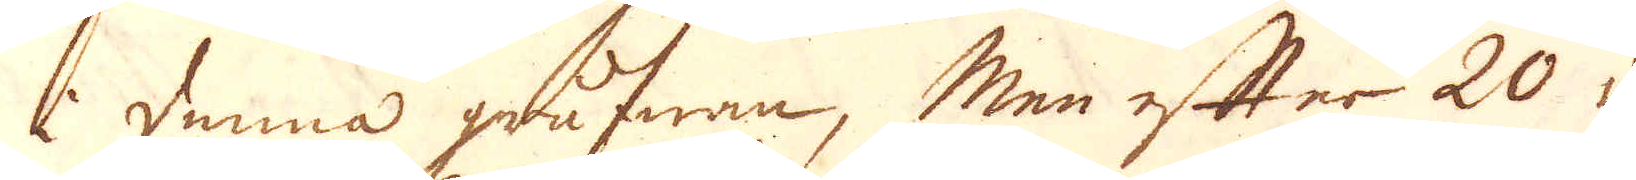i denna grufwan, Men efter 20 da-
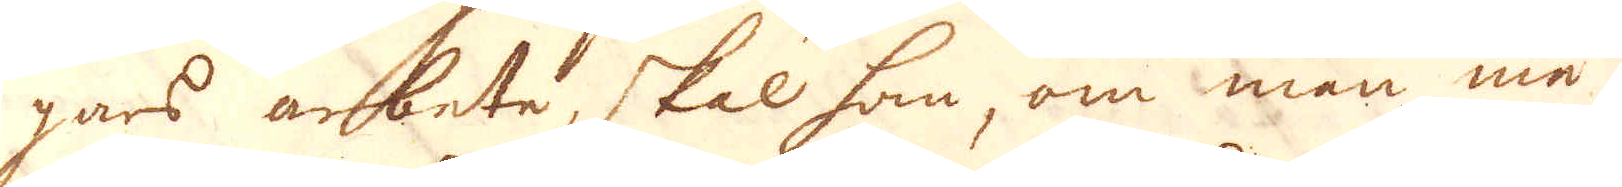gars arbete, skal hon, om man må tro
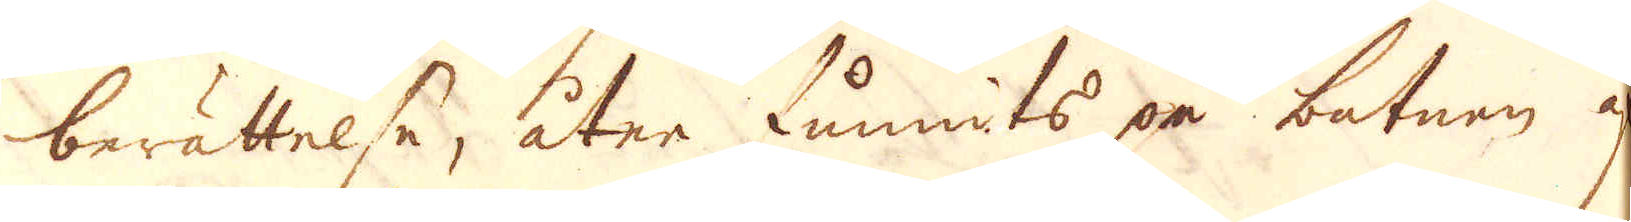berättelse, åter funnits på botnen af
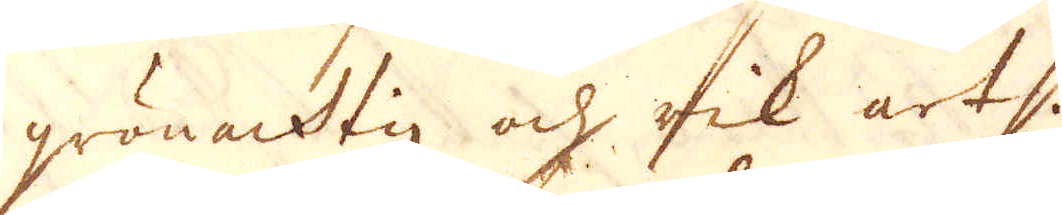grönacktig och rik art.
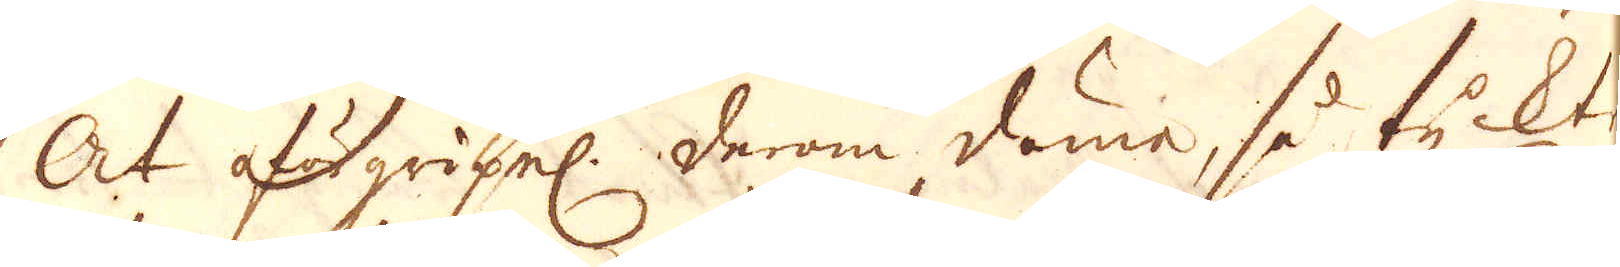At oförgripel: derom döme, så tycktes
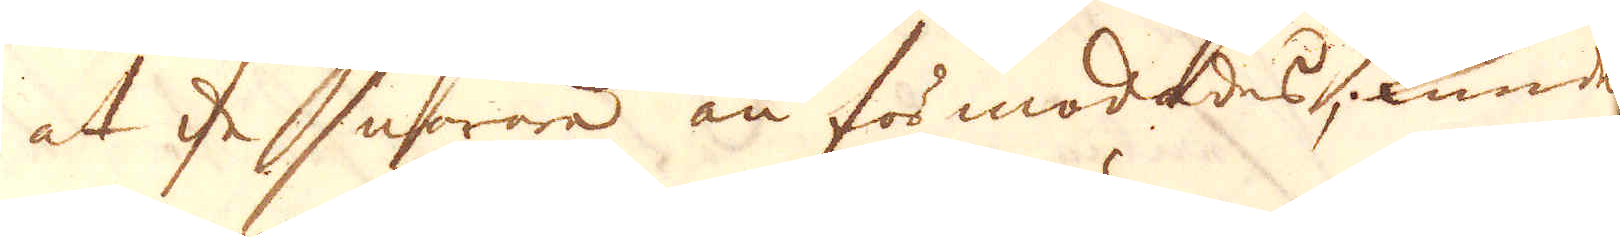at de snarare än förmodades, kunde
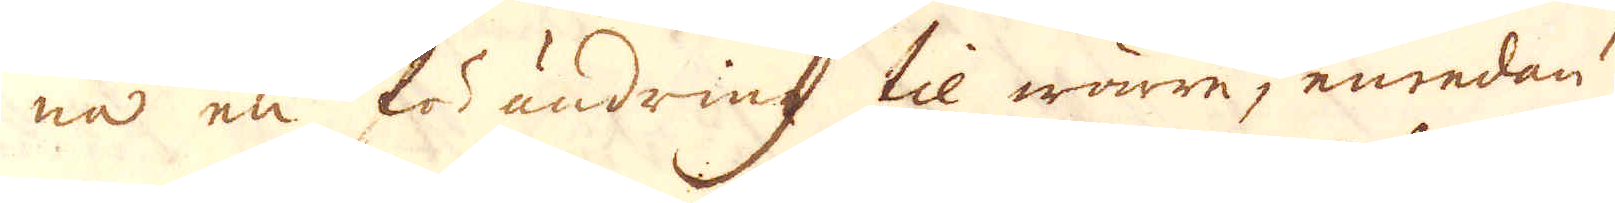na en förändring til wärre, emedan
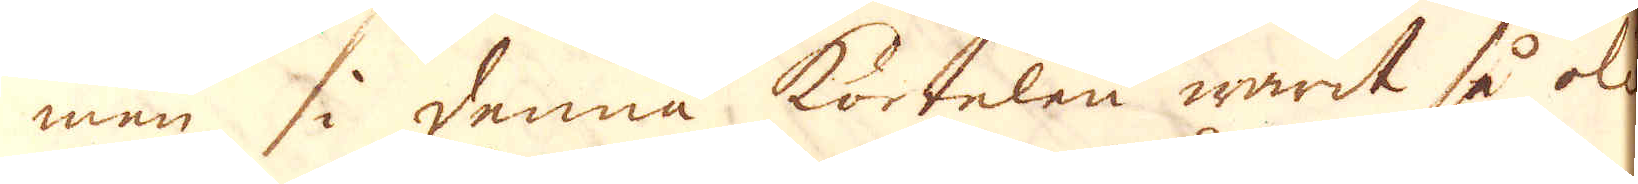man i denna körtelen warit så olik
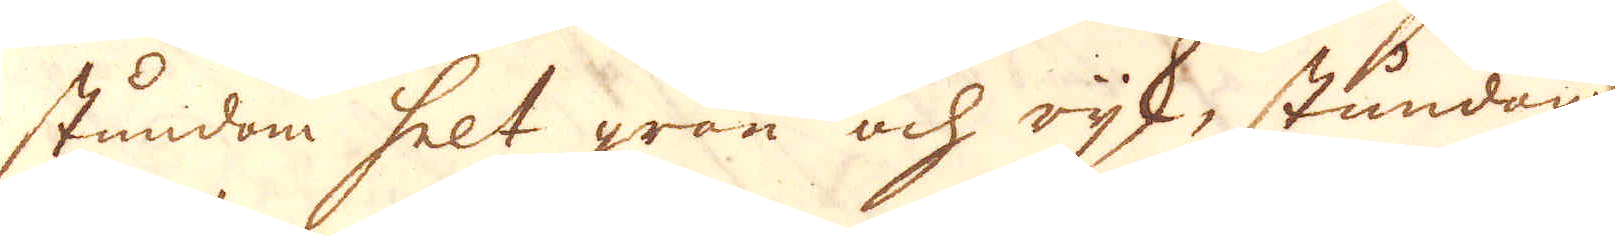stundom helt grön och rjk, stundom
